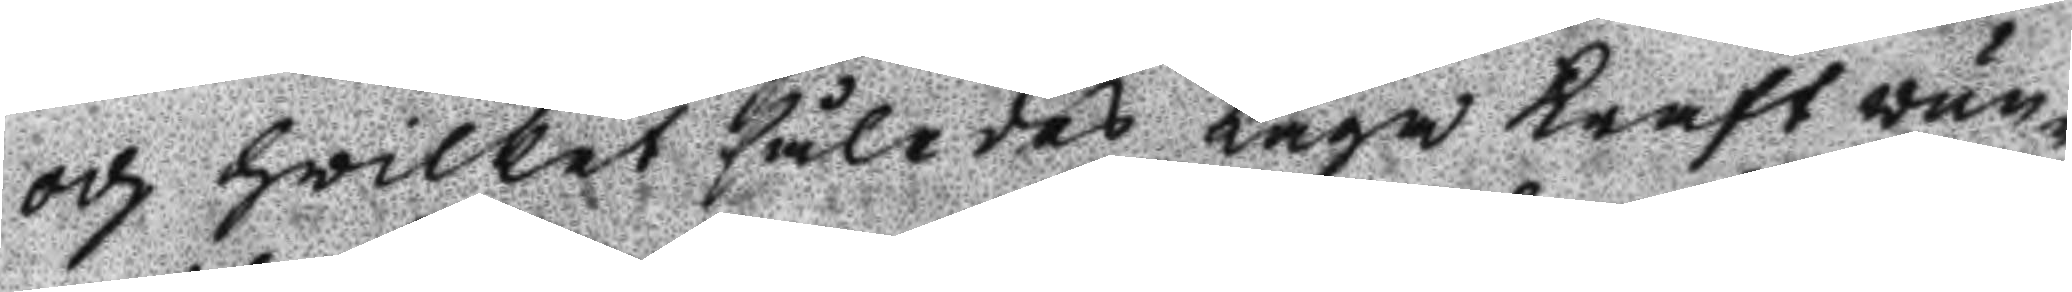och hwilket således Laga Kraft vun¬
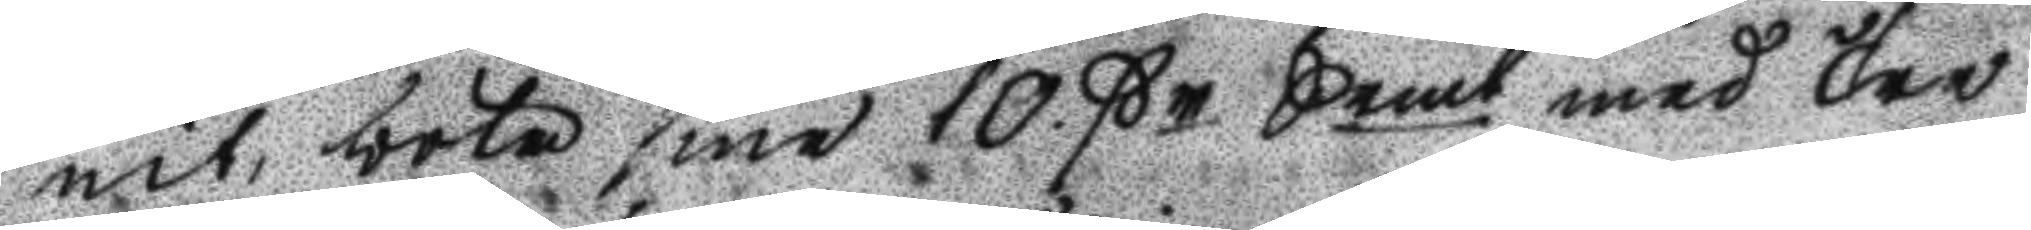nit, böte sine 10 ßr Semt med Tre
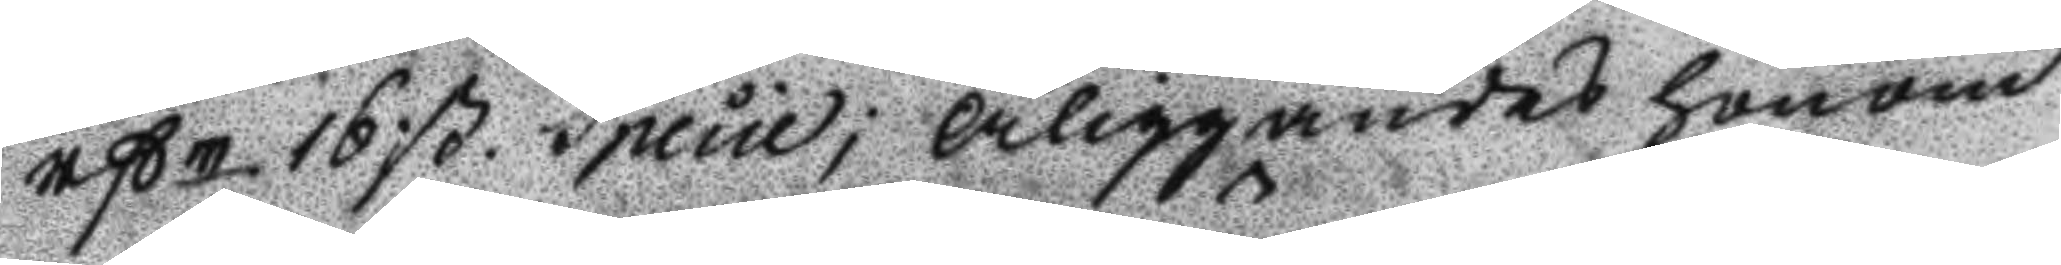rßr 16ß, Specie; Åliggandes honom
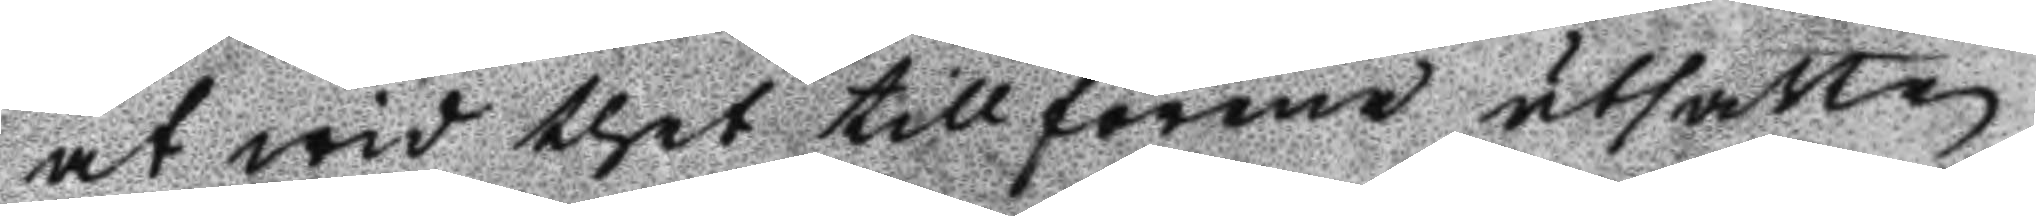at wid thet tillförene utsatte
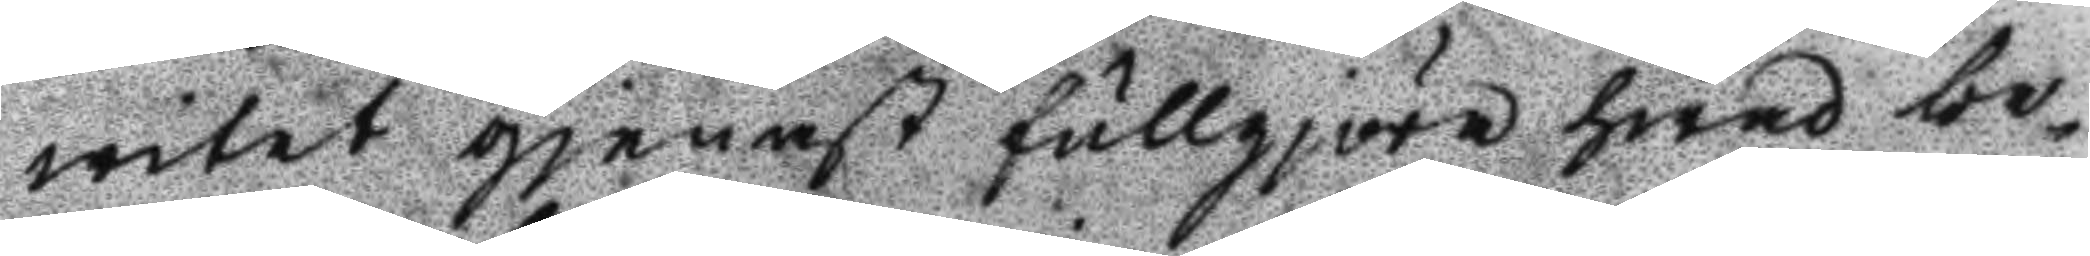witet gjenast fullgjöra hwad be¬
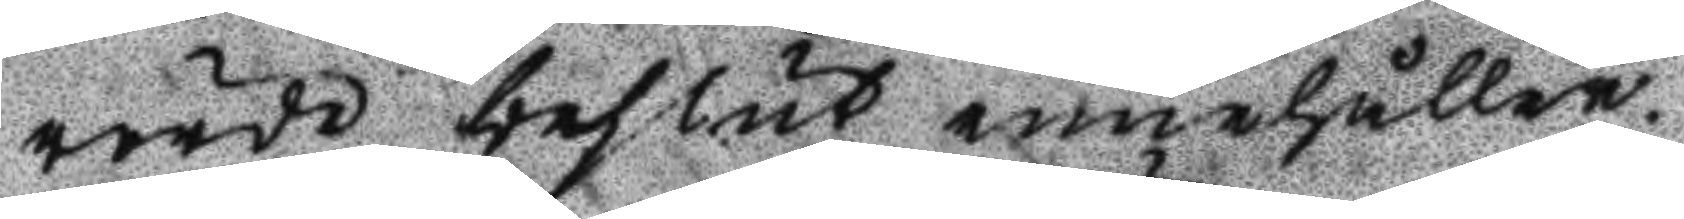rörde beslut innehåller.
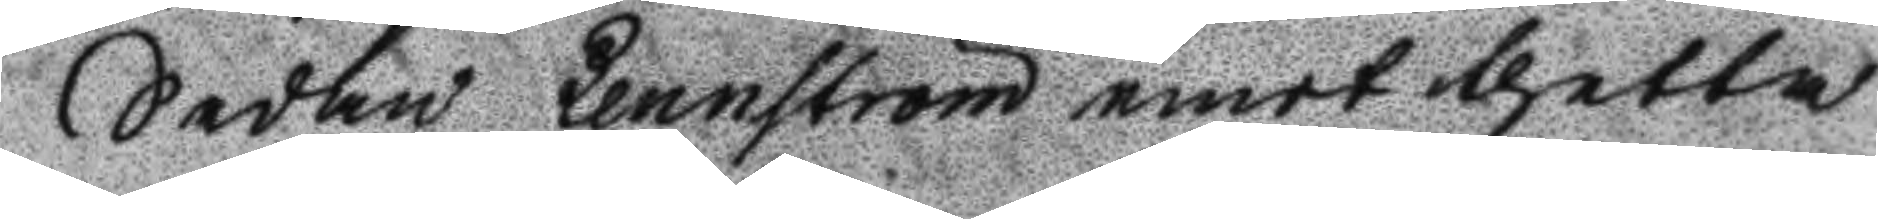Sedan Lennström emot thetta
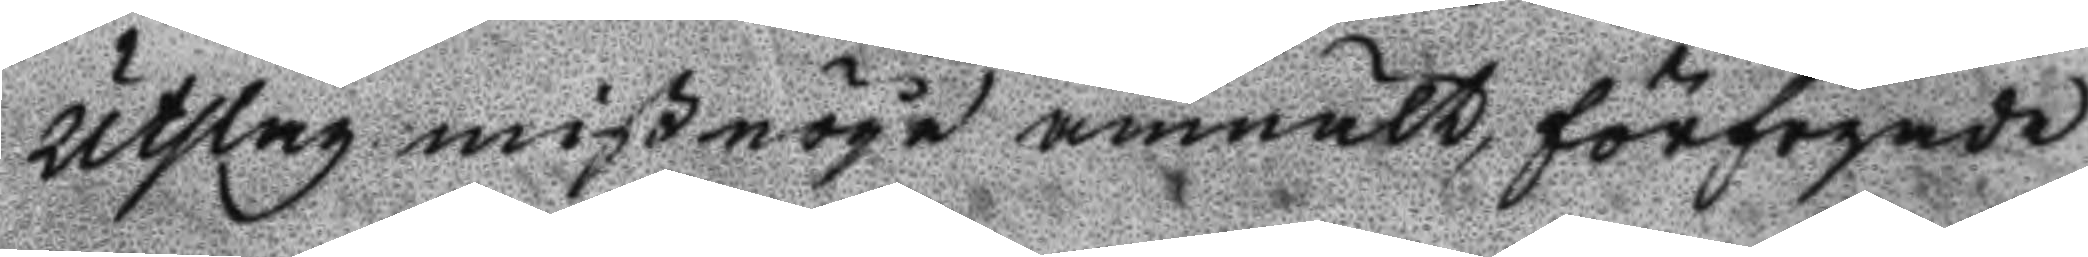Utslag mißnöge anmält, förfogade
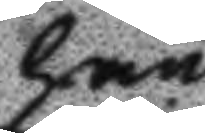han
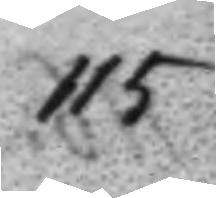115
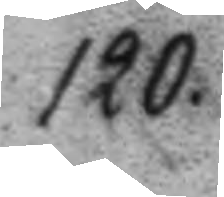120.
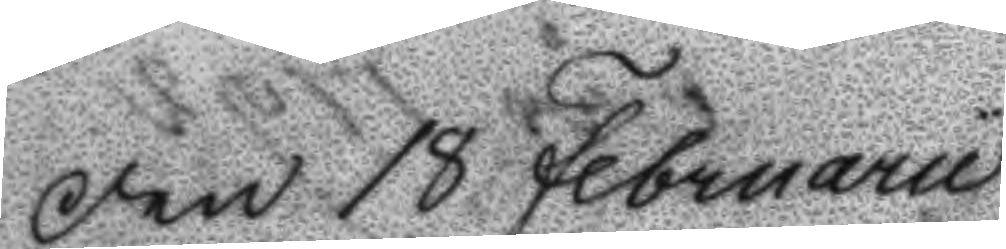Den 18 Februarii
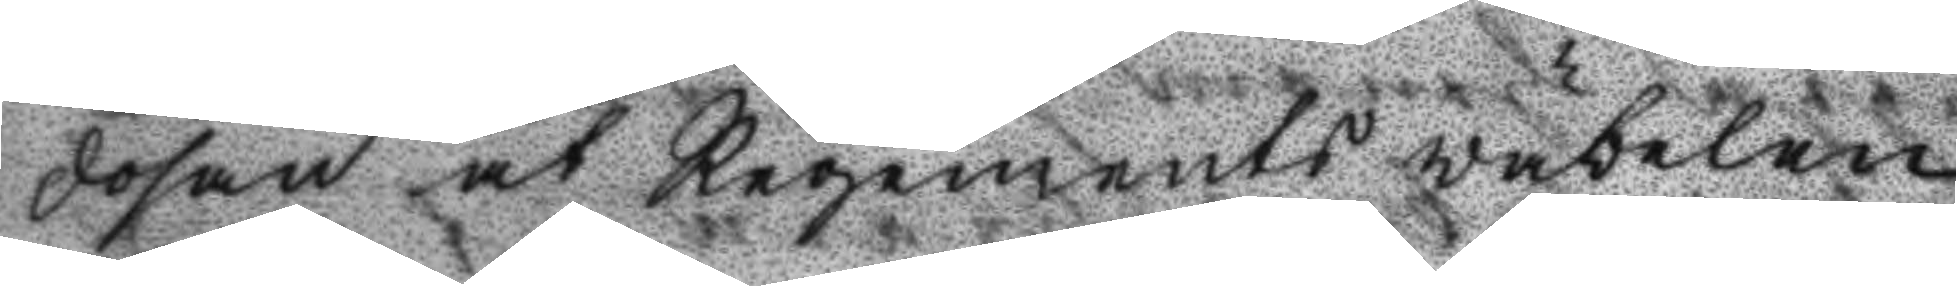dosan åt Regements väbelen
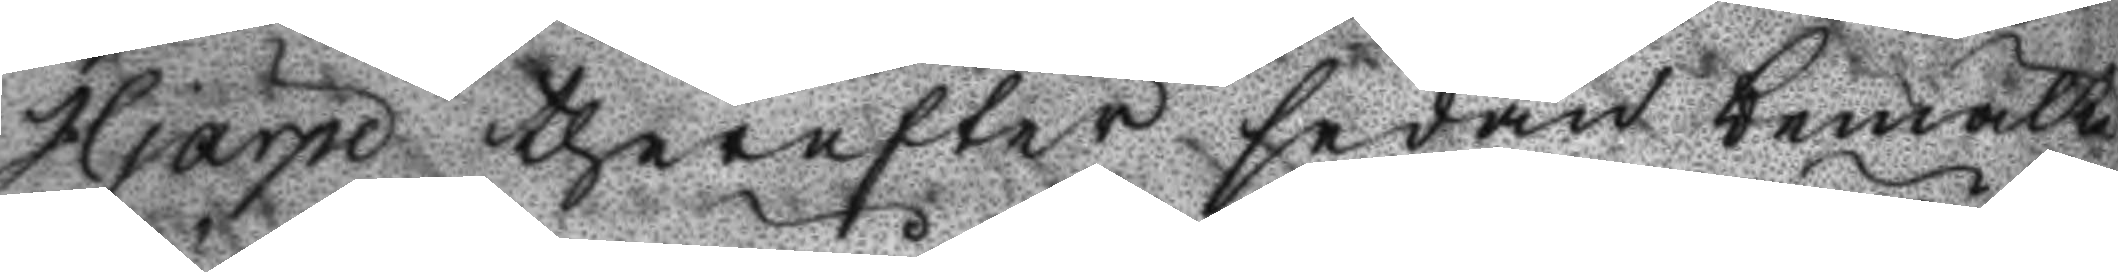Hjärpe therefter sedan bemälte
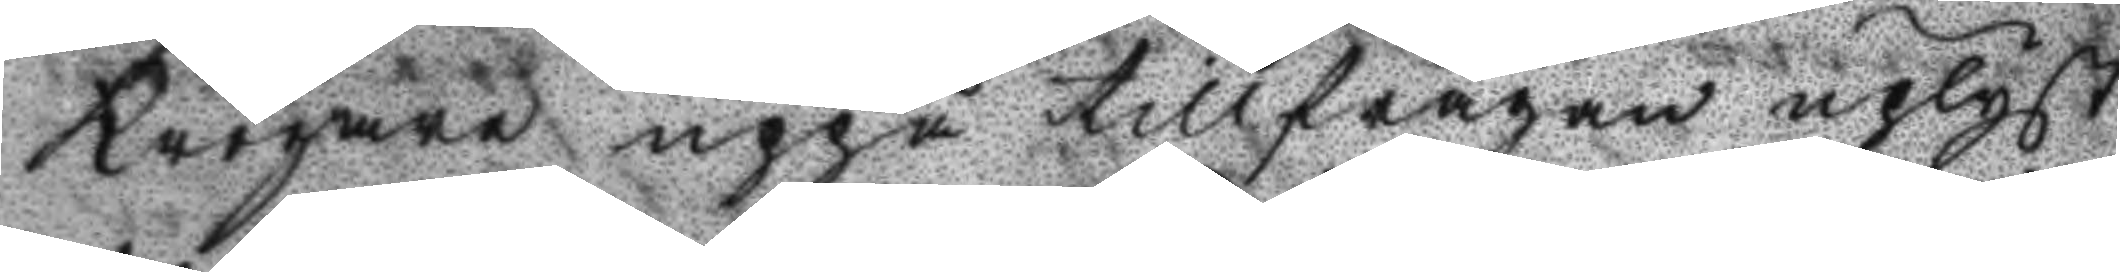Krögare uppå tillfrågan uplyst
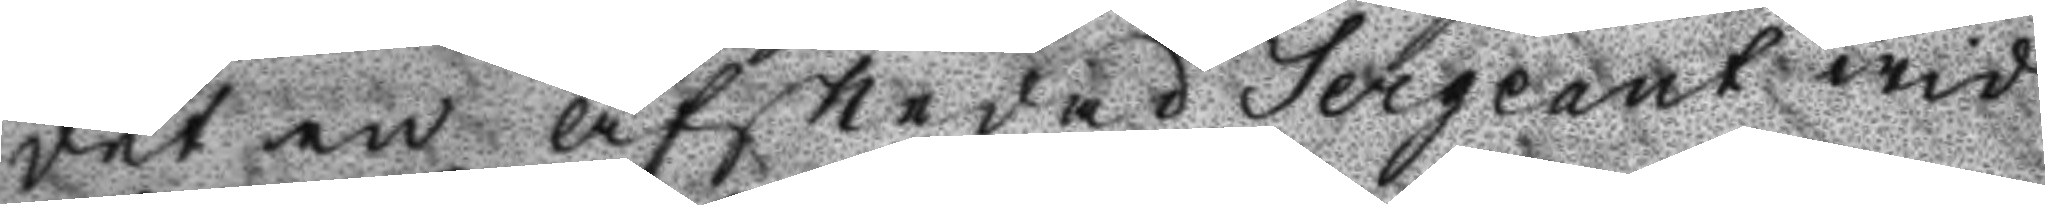det en afskedad Sergeant wid
